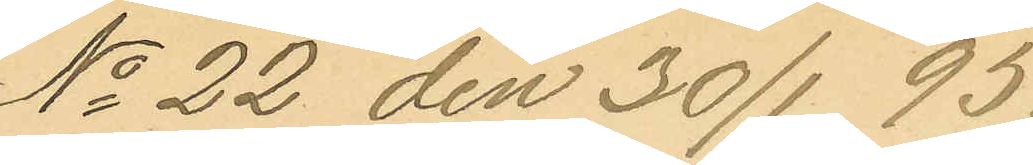No 22 den 30/1 95.
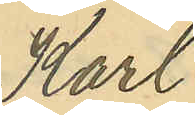Karl
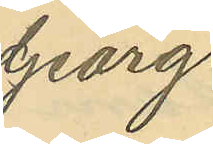Georg
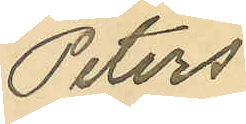Peters¬
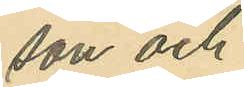son och
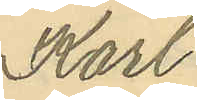Karl
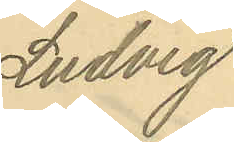Ludvig
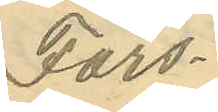Fors-
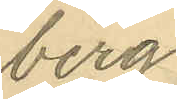berg
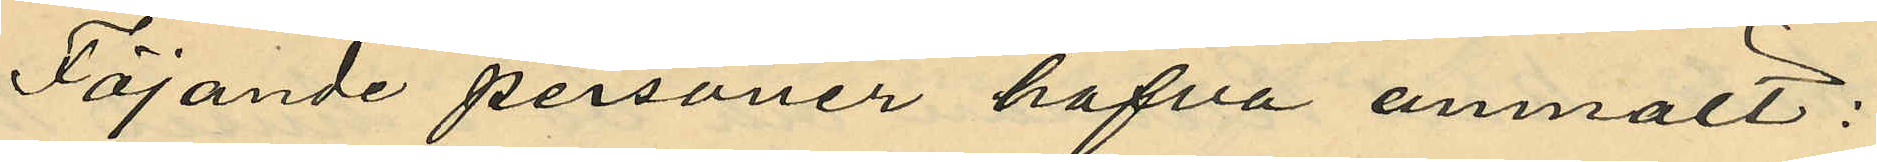Föjande personer hafva anmält:
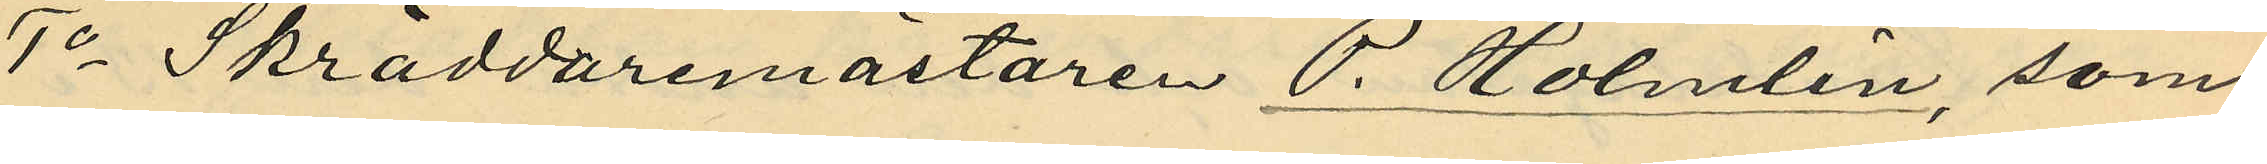1o Skräddaremästaren P. Holmlin, som
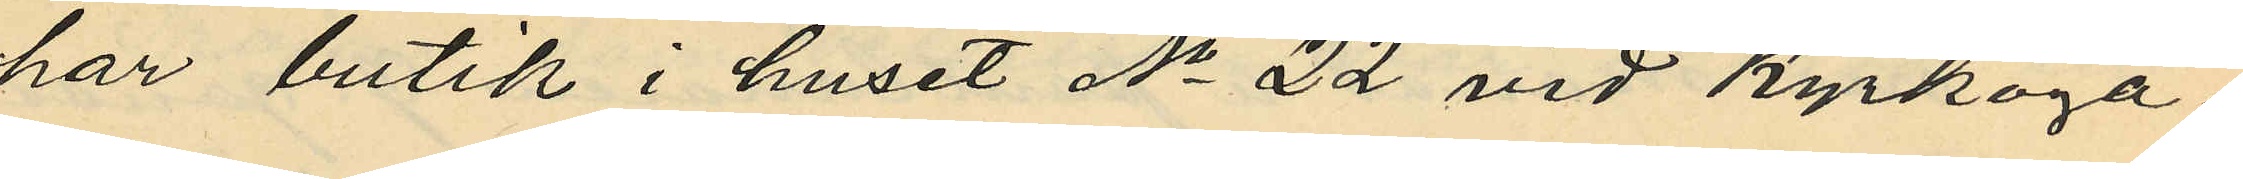har butik i huset No 22 vid Kyrkoga¬
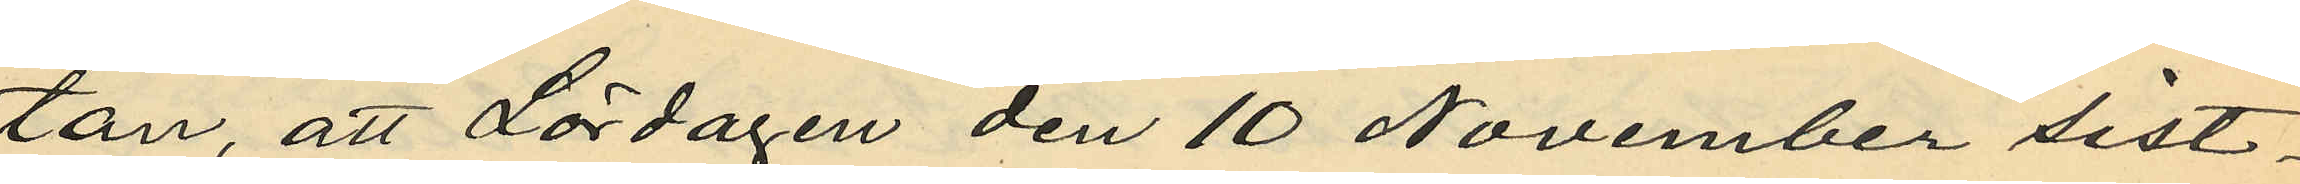tan, att Lördagen den 10 November sist¬
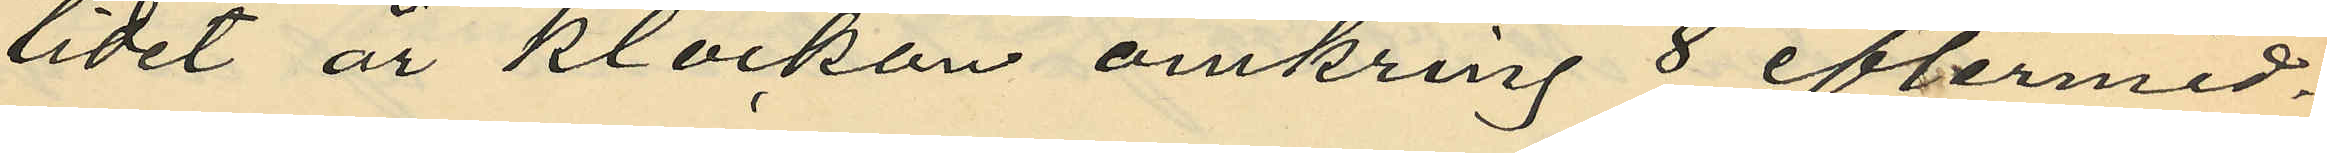lidet år klockan omkring 8 eftermid¬
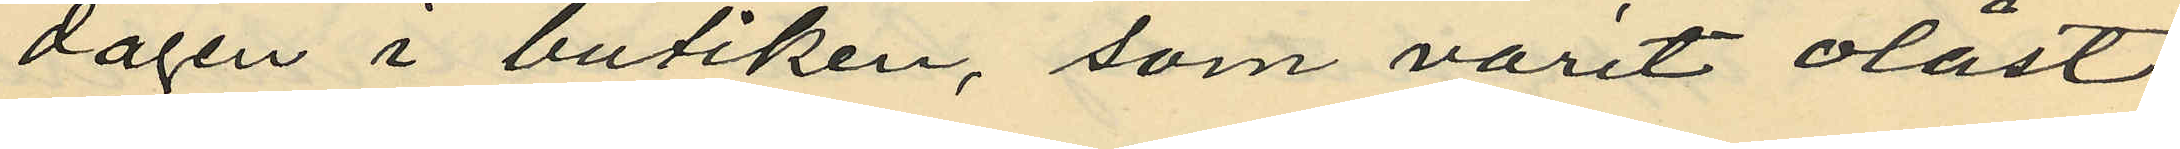dagen i butiken, som varit olåst
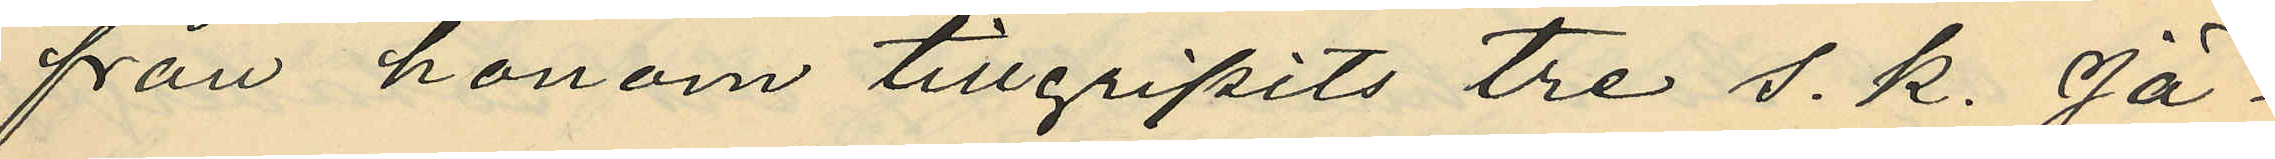från honom tillgripits tre s. k. Jä¬
